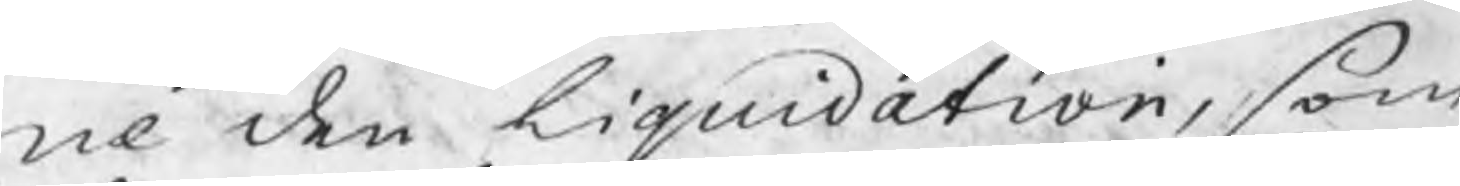ne den liquidation, som
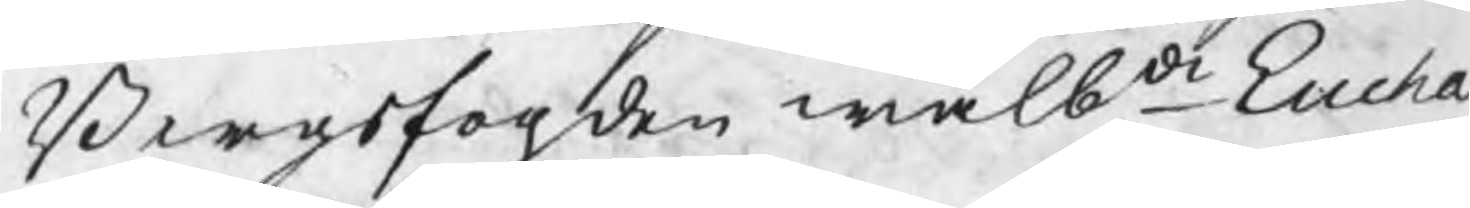Bergsfogden wälbde Eucha
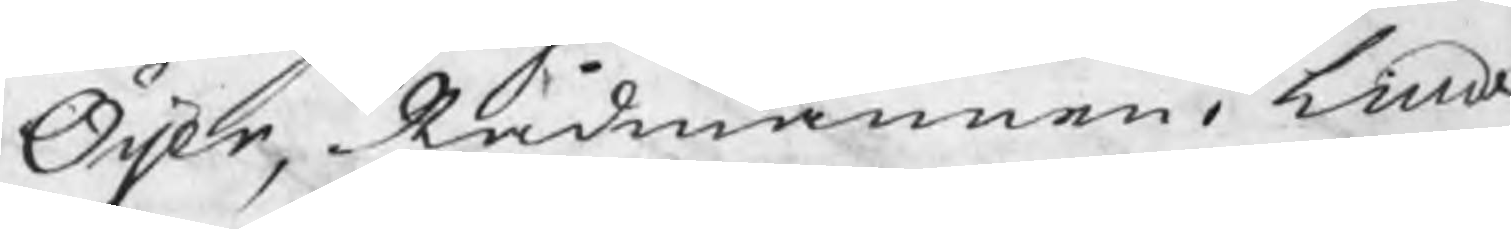Öijer, Rådmannen i Linde
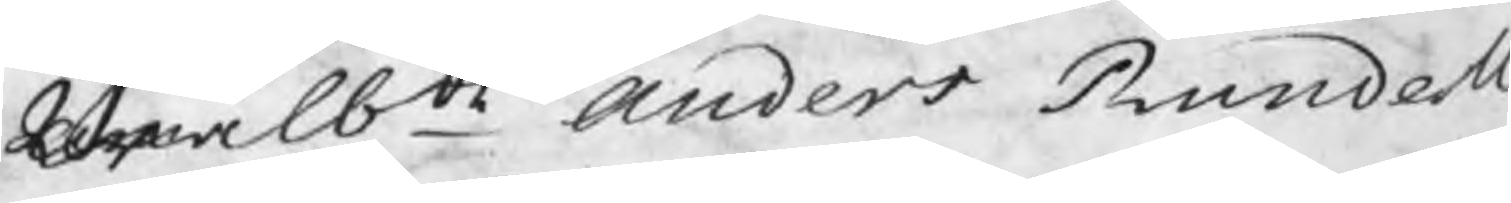wälbde Anders Rundell 
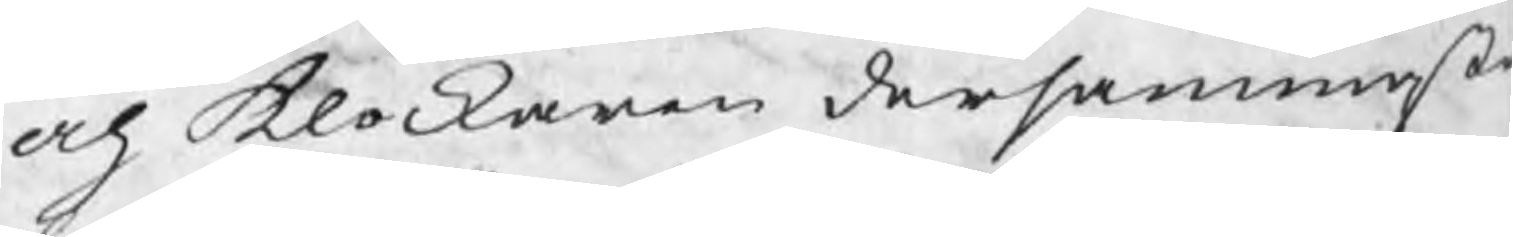och Klockaren dersammast
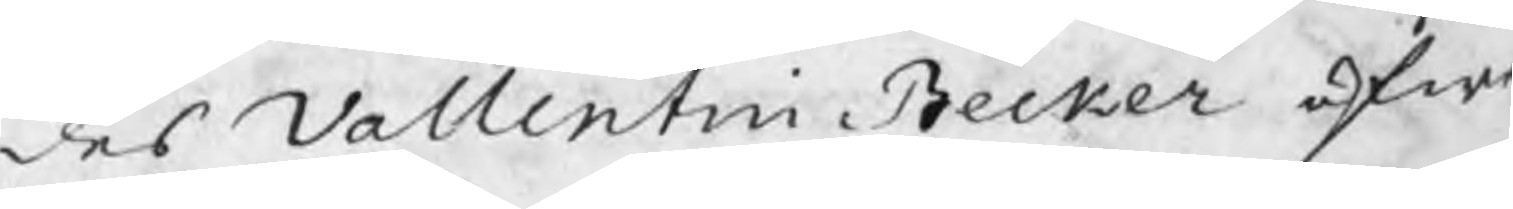des Vallentin Becker öfwe
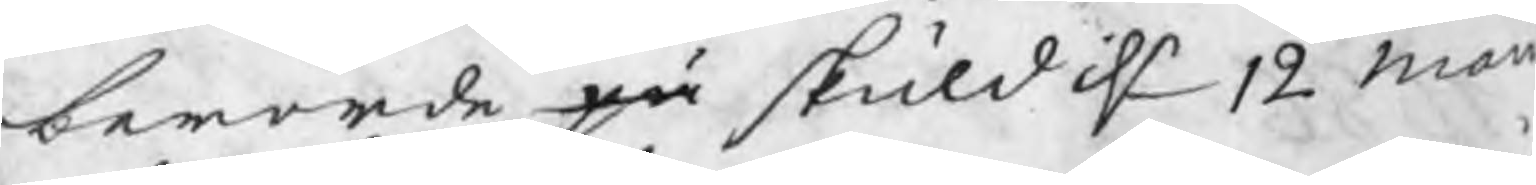berörde på skuld d 12 maii
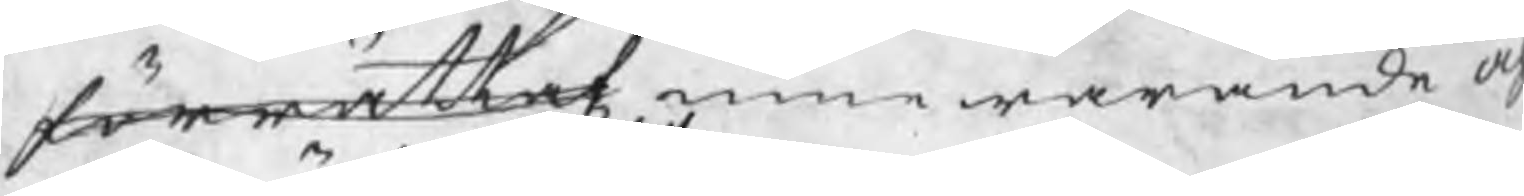förrättat innewarande åh
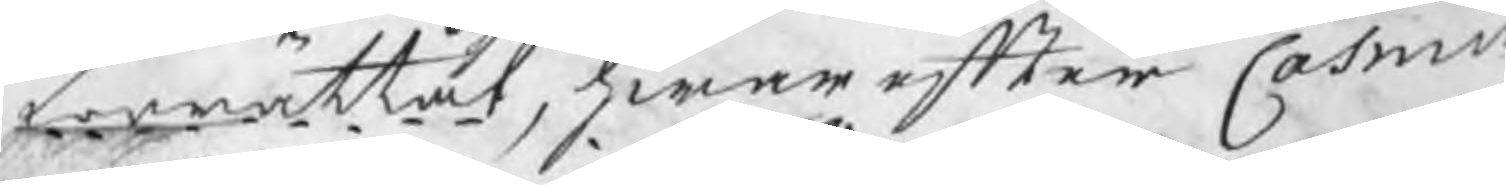förrättat, hwarefter Casmir
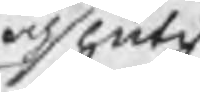och slutit
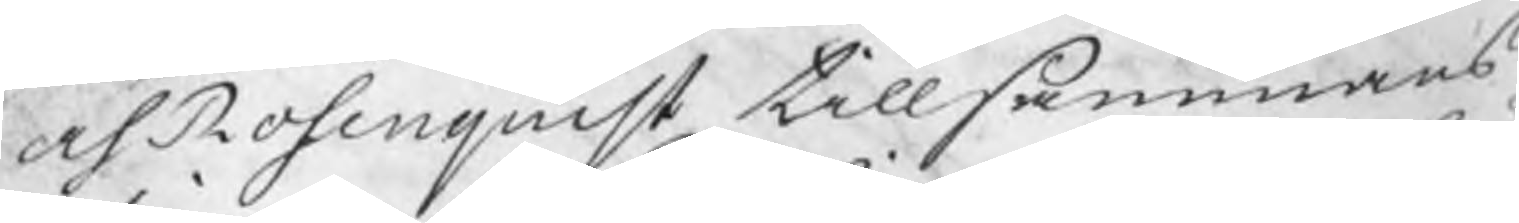och Rosenquist tillsammans
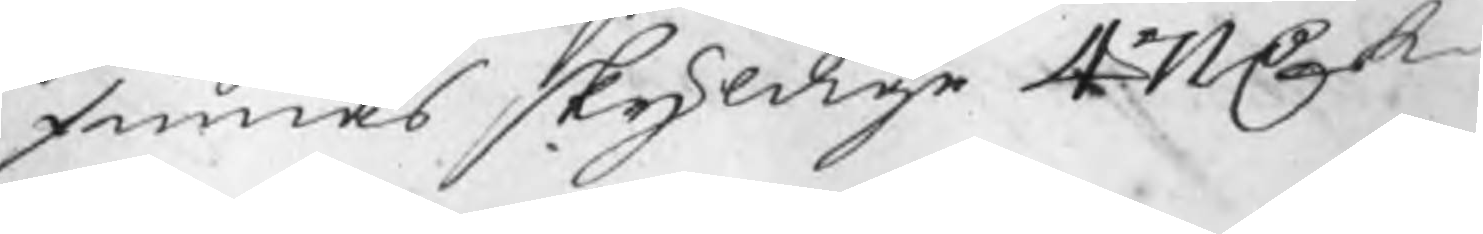finnas skyldige 471 C k
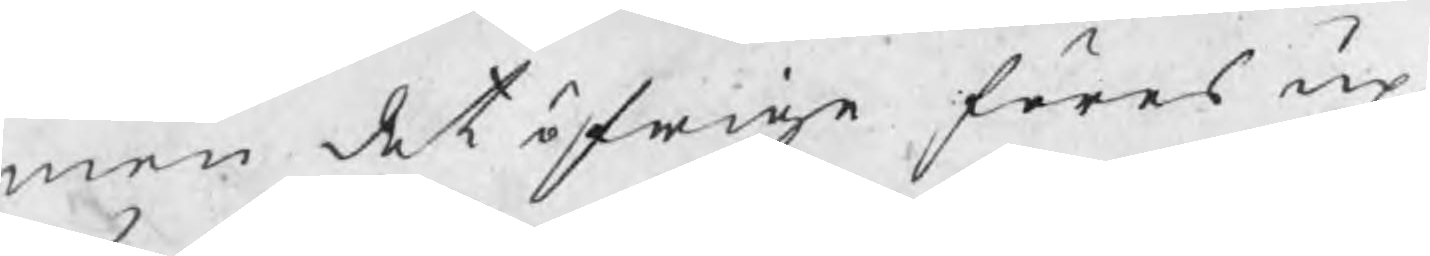men det öfrige föres up
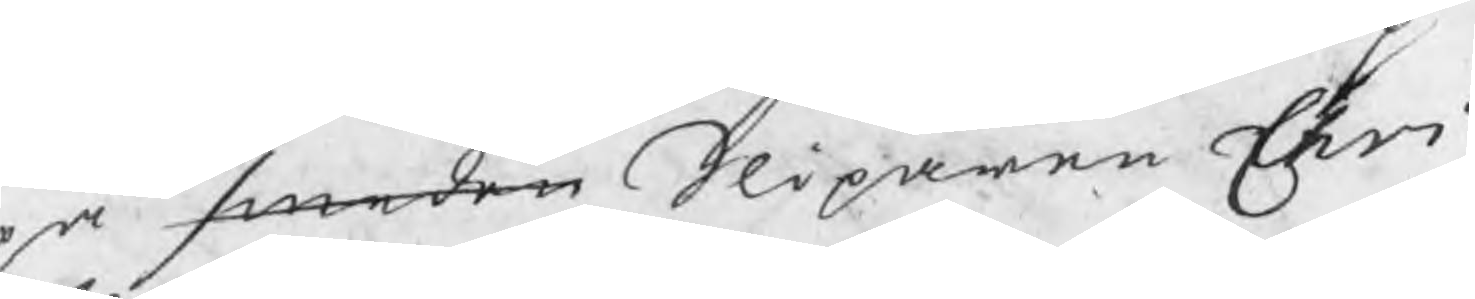på smeden Sliparen Chri¬
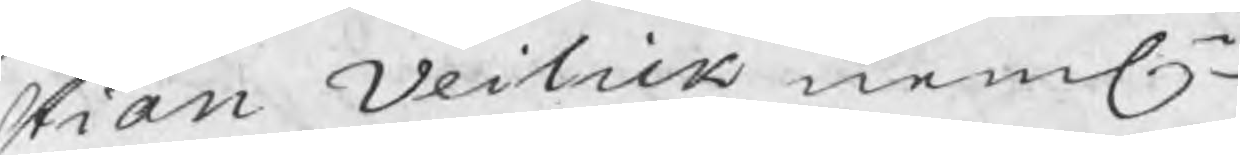stian Veilick neml.
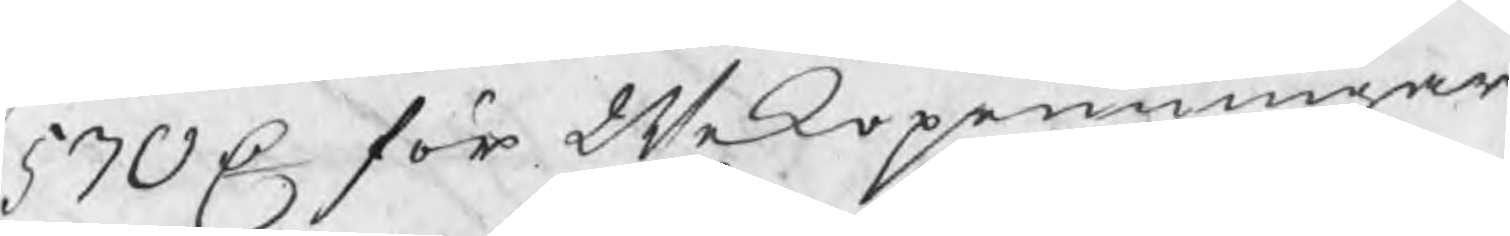570 C för Wekopenningar
